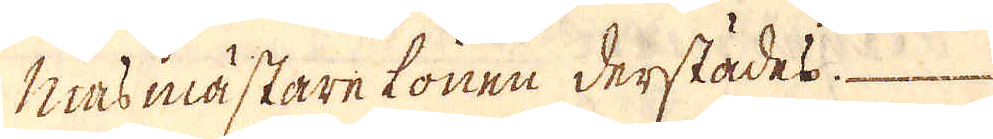Niasmästare lonen derstädes.
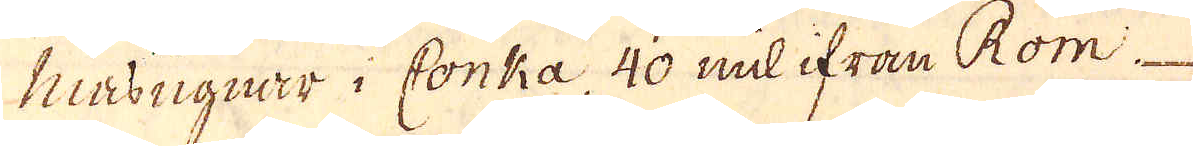Niasugnar i Conka 40 mil ifrån Rom-
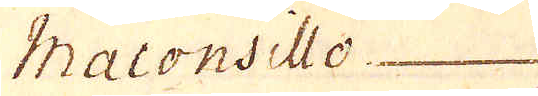Maconsillo
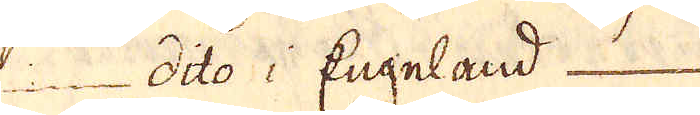in dito i Engeland
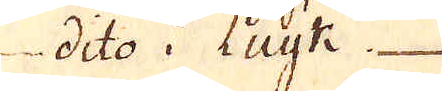diko i Lugte
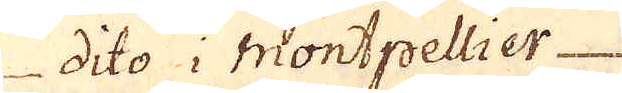diko i Montpellier
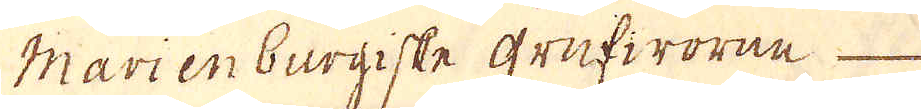Marienburgiske grufworan
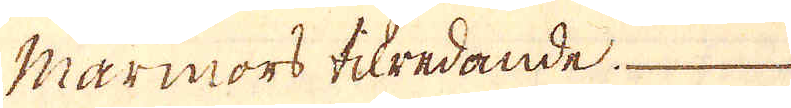Marmors tilredande.
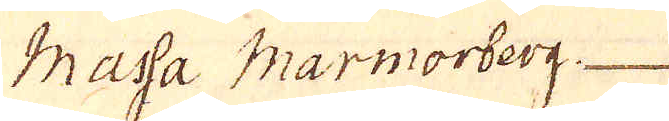Masa Marmorberg
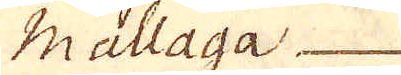Mallaga
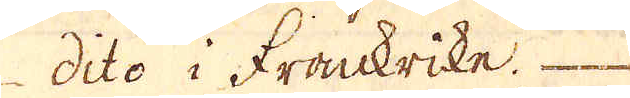dito i Frackrike.
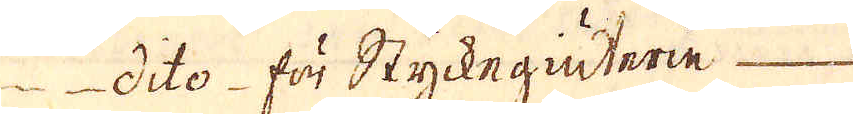dito för Styckegiuterie
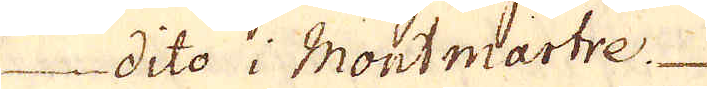dito i Montmtartre
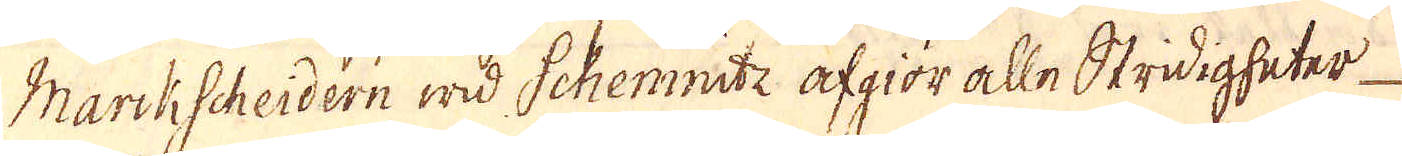Markscheidern wid Schemnite afgiör alle Stridigheter
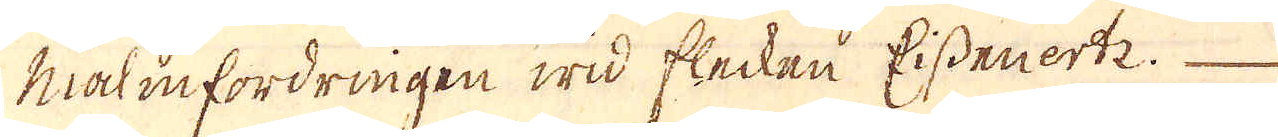Malmfordringen wid flecken Eissenertz.
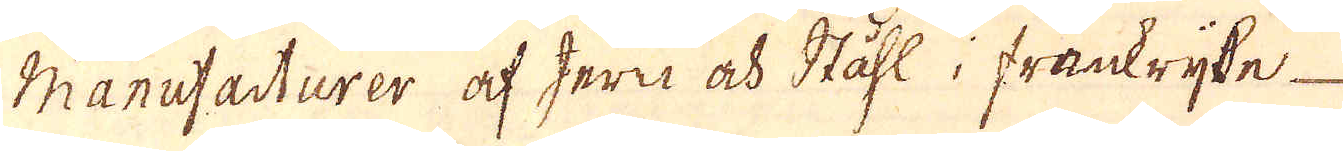Manutadturer af jern och Ståhl i frankryke
